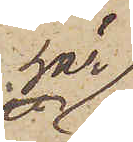här
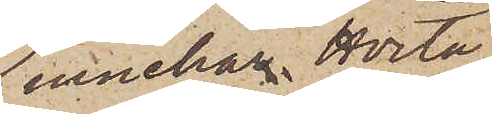innehar Hvita
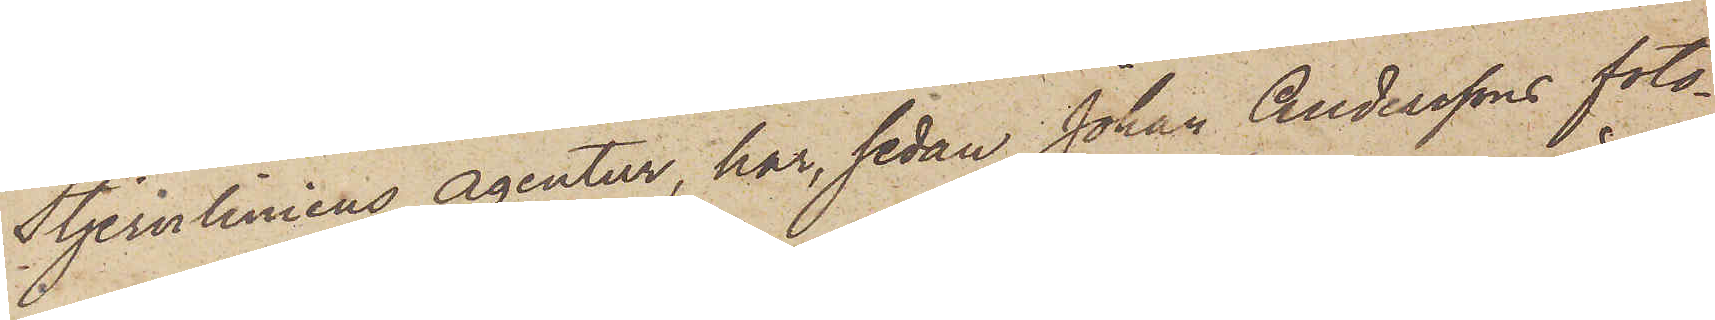Stjernliniens agentur, har, sedan Johan Anderssons foto¬
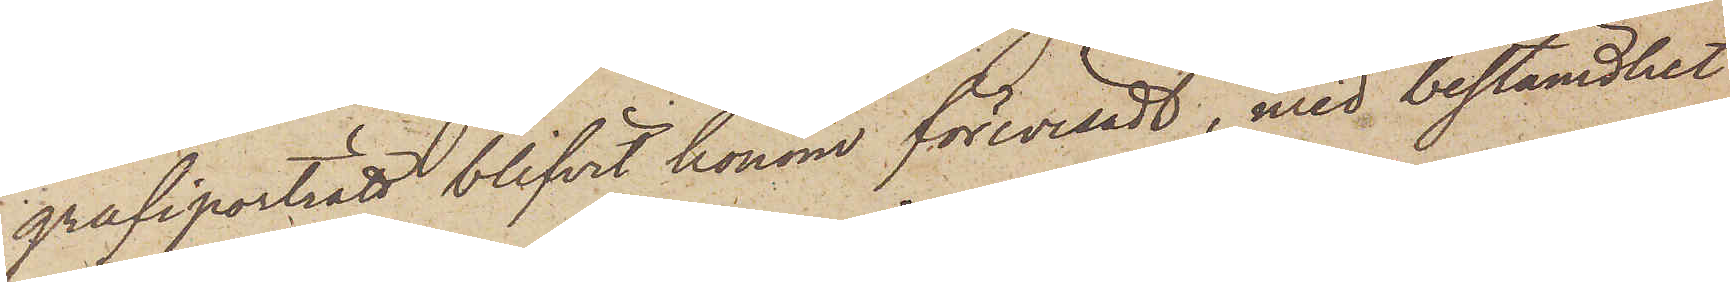grafiporträtt blifvit honom förevisadt, med bestämdhet
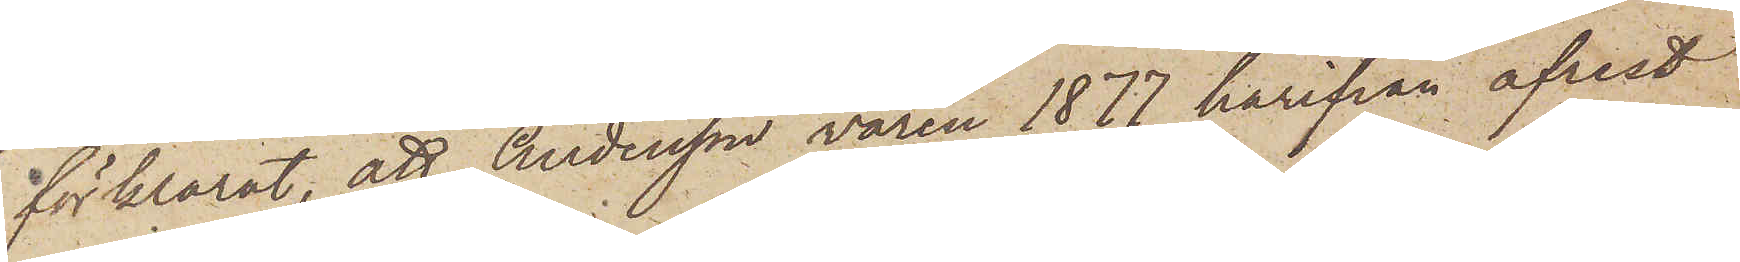förklarat, att Andersson våren 1877 härifrån afrest
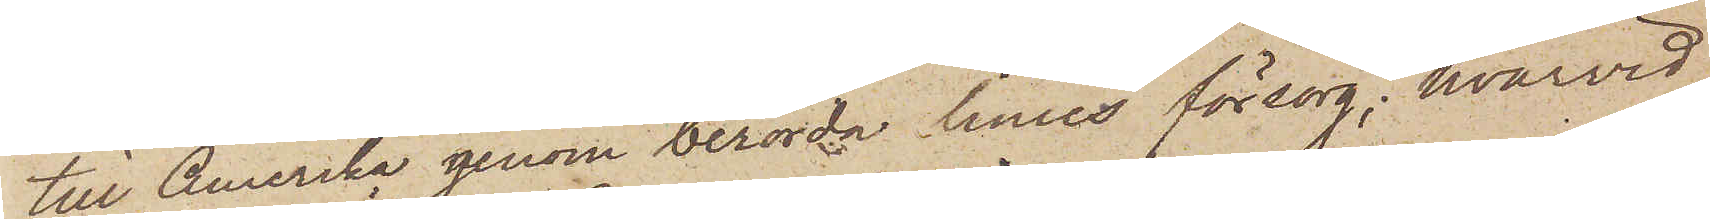till Amerika genom berörda linies försorg; hvarvid
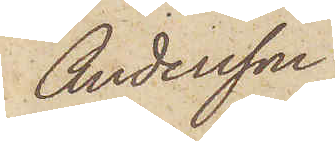Andersson
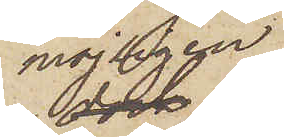möjligen
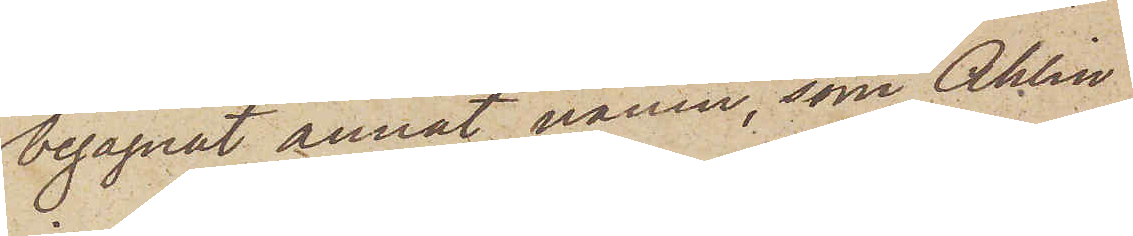begagnat annat namn, som Ahlin
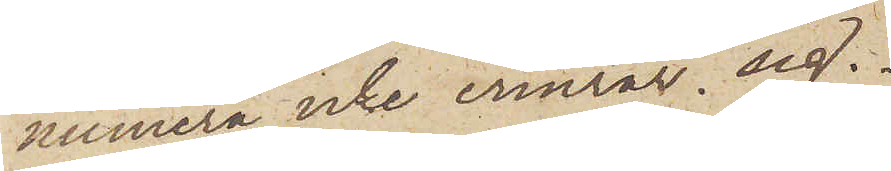numera icke erinrar sig.
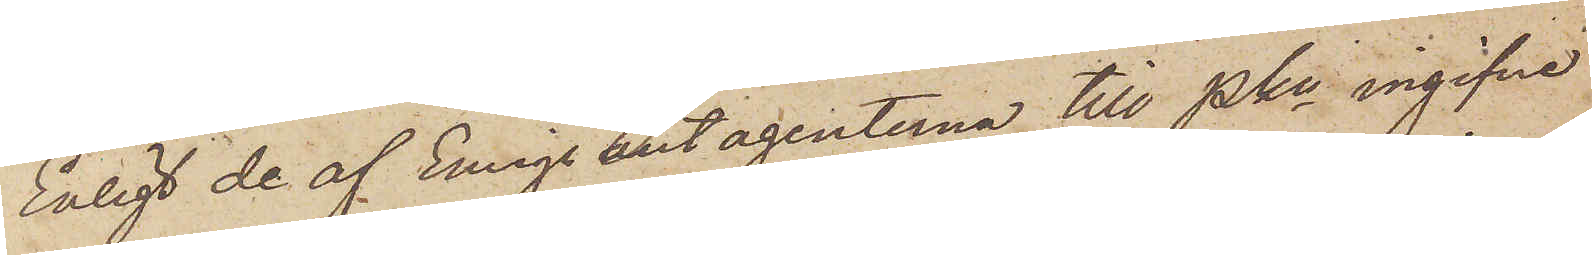Enligt de af Emigrantagenterna till Pkn ingifne
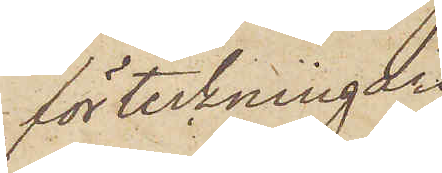förteckningar
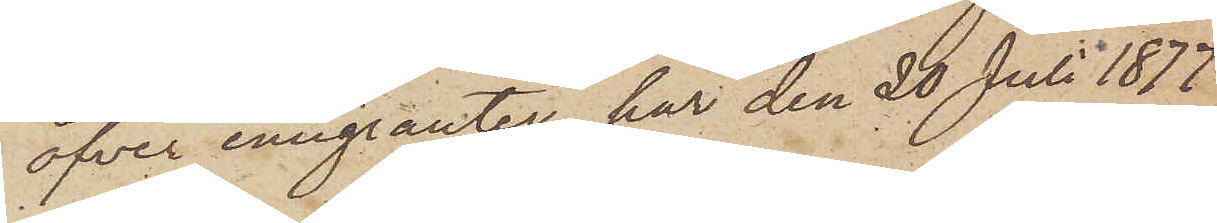öfver emigranter, har den 20 Juli 1877
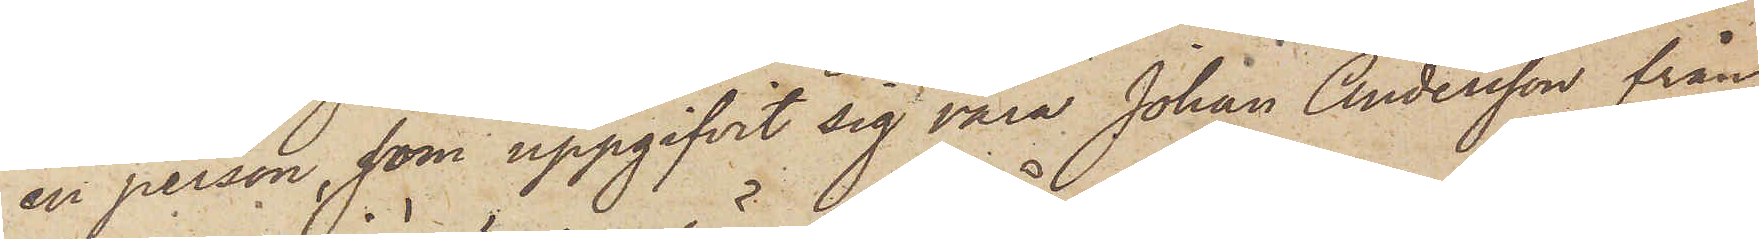en person, som uppgifvit sig vara Johan Andersson från
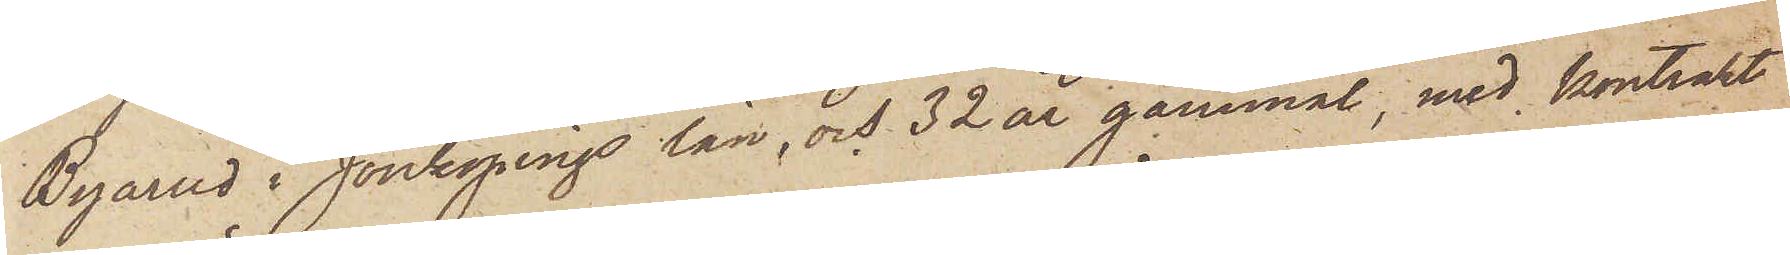Byarud i Jönköpings län, och 32 år gammal, med kontrakt
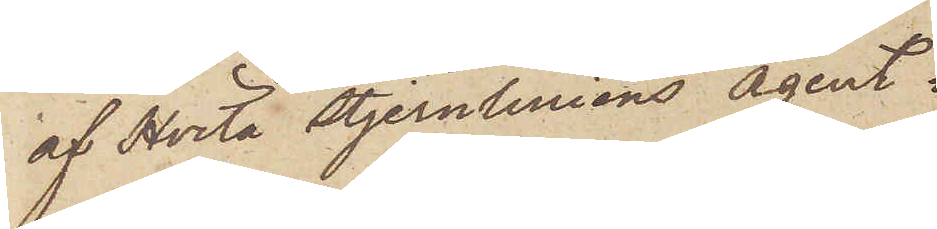af Hvita Stjernliniens agent
